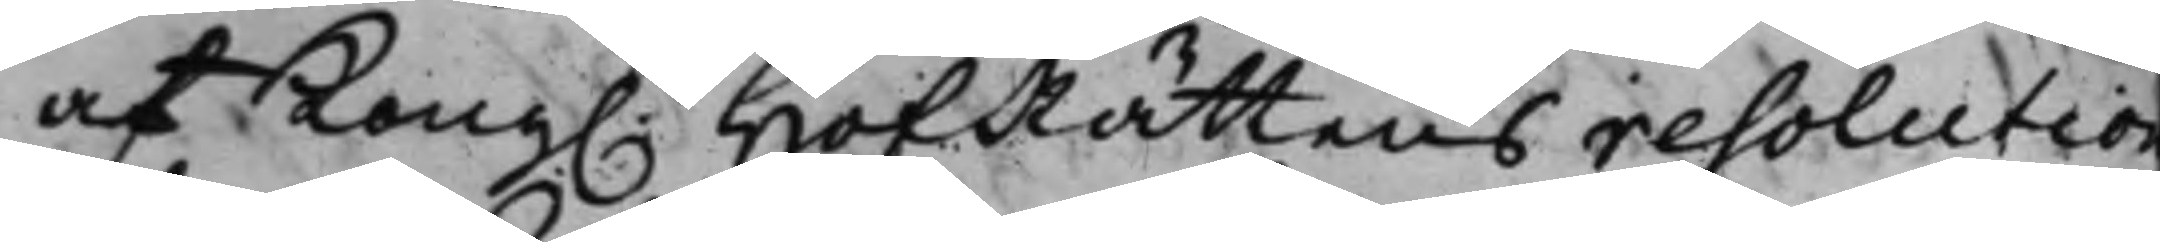af Kong. HofRättens resolution
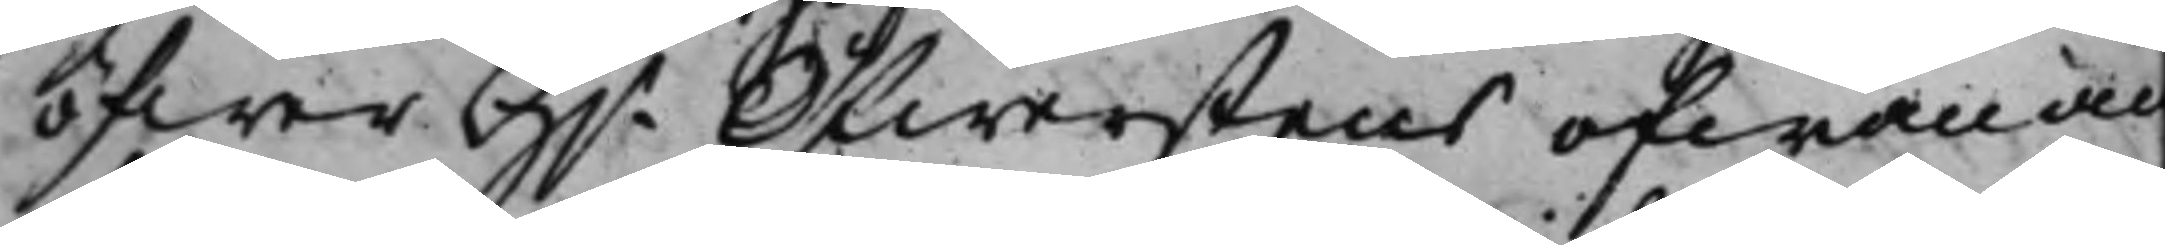öfwer H.r Öfwerstens ofwan an¬
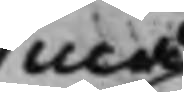må
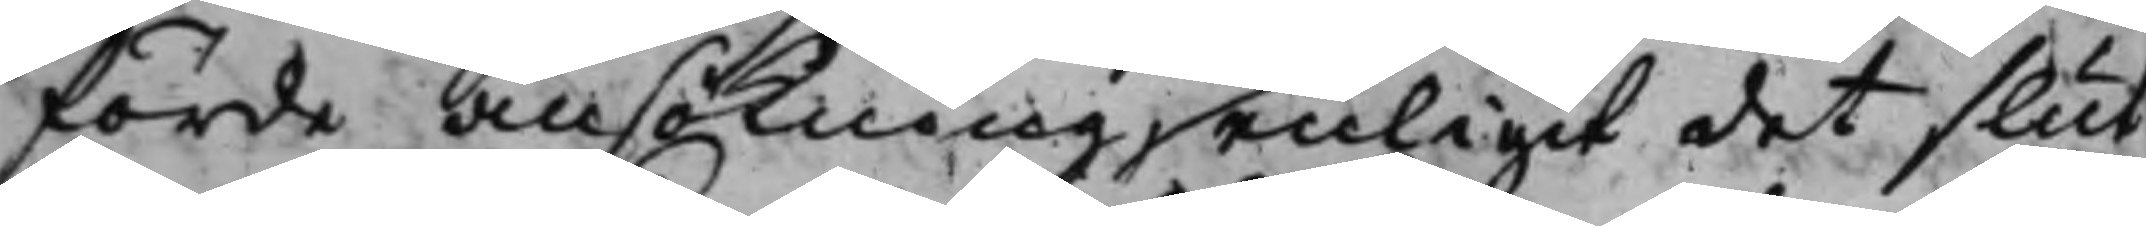förde ansökning enligit det slut
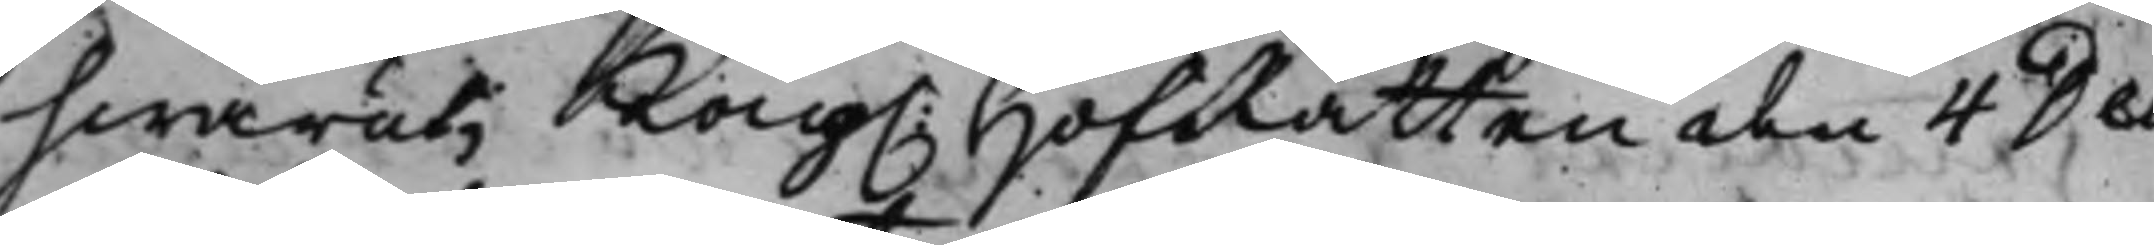hwaruti Kong. HofRätten den 4 Dec
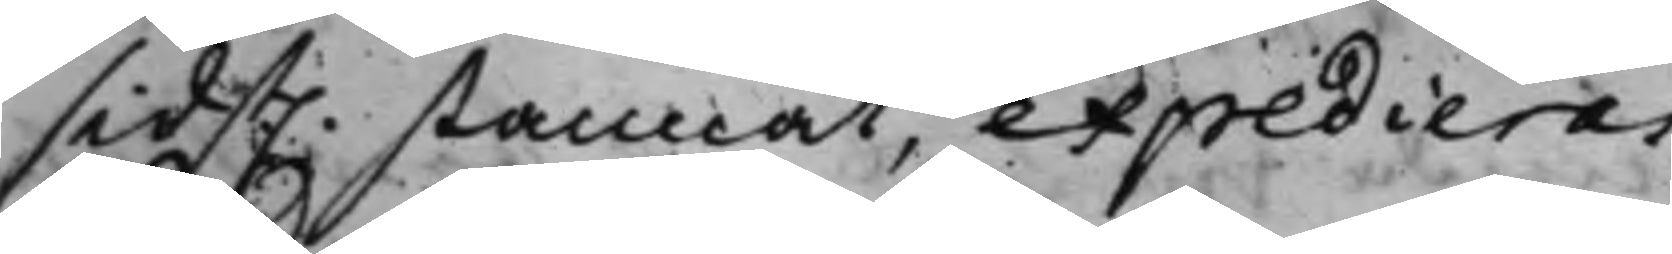sidst. stannat, expedieras.
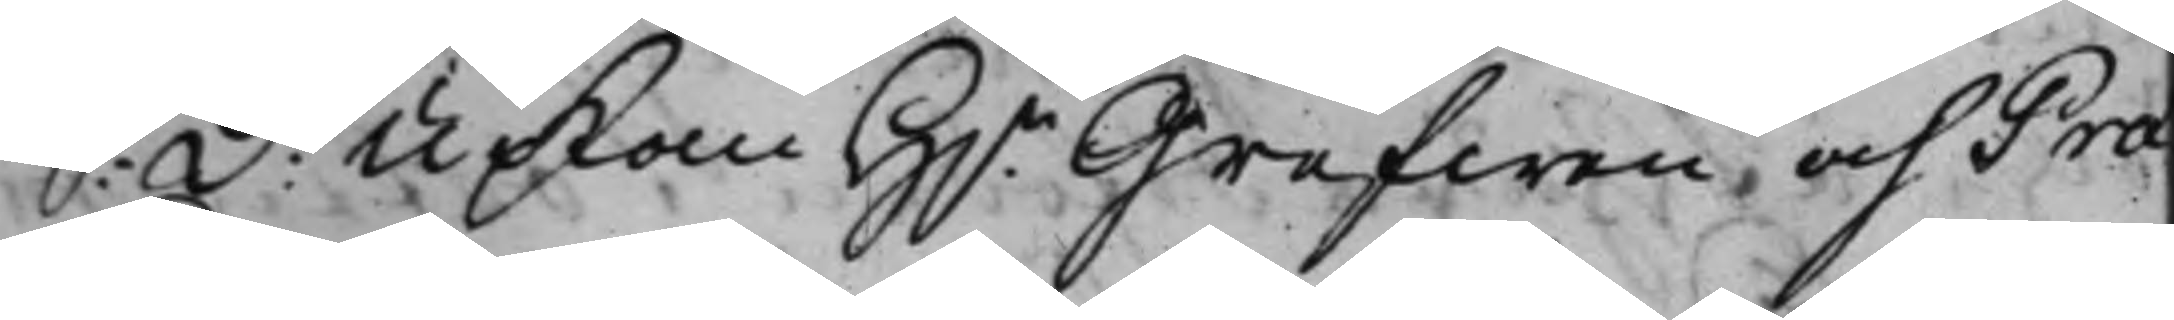S: d: Upkom H.r Grefwen, och Præ¬
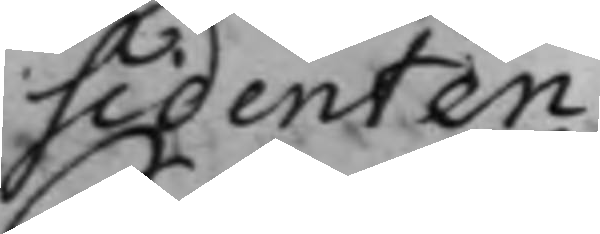sidenten.
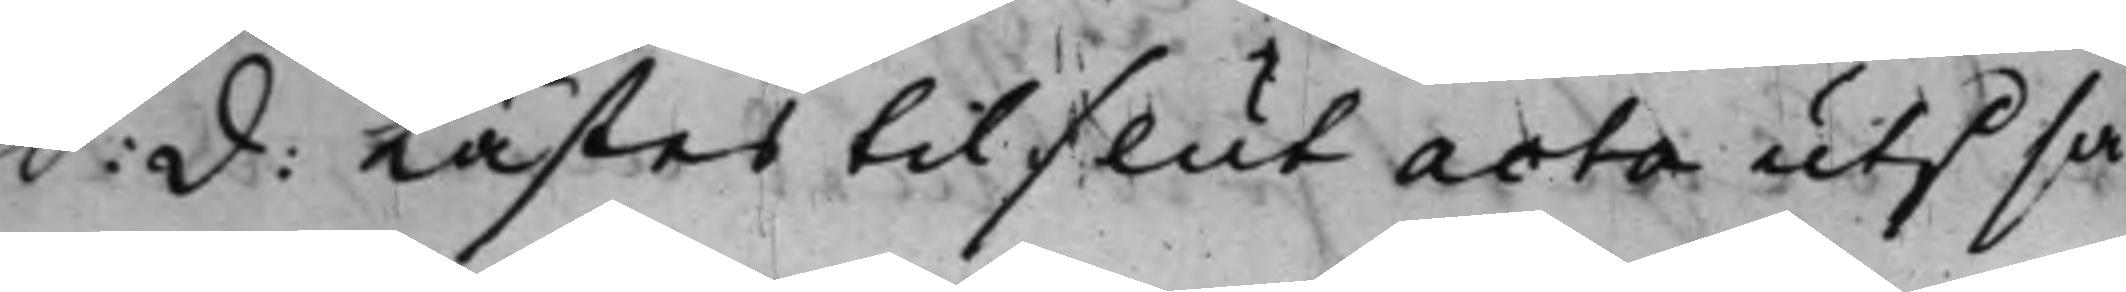S: d: Lästes till slut acta uti sa¬
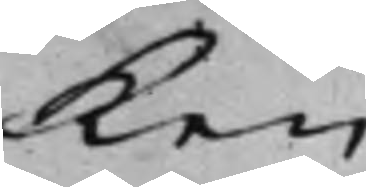ken
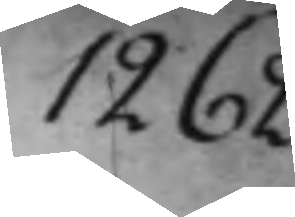1262.
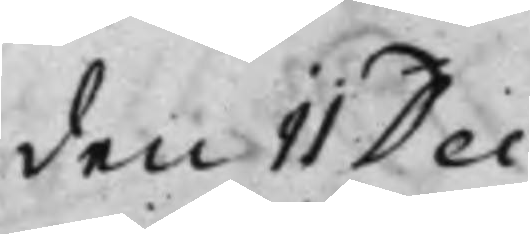den 11 Dec:
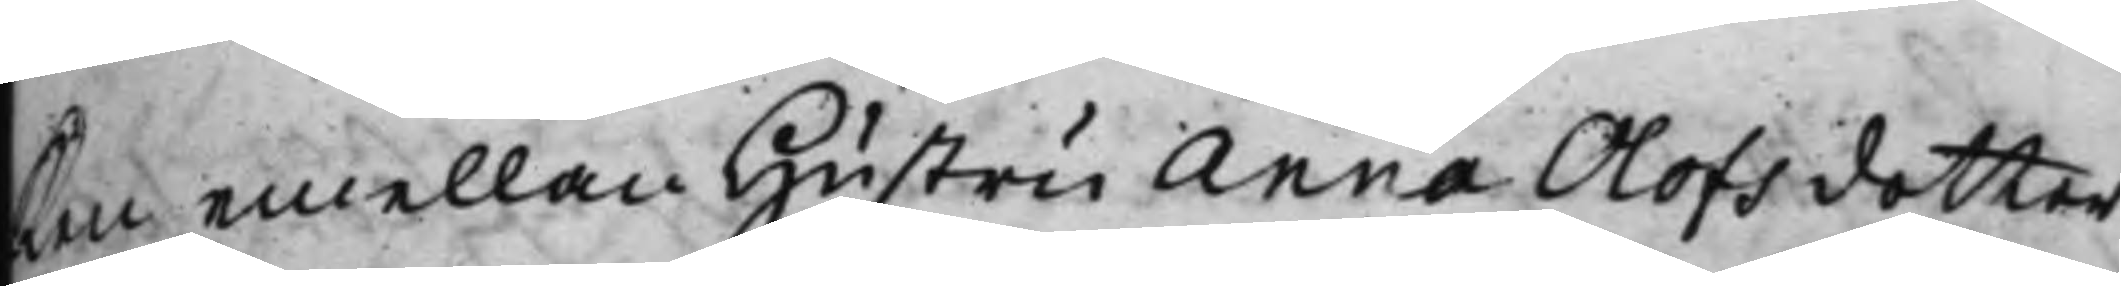ken emellan Hustru Anna Olofsdotter
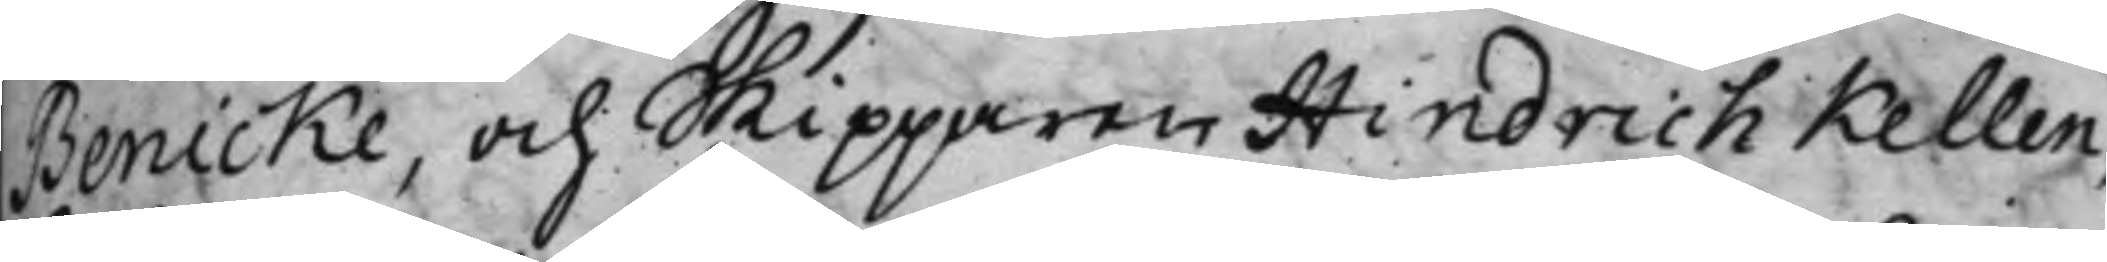Benicke, och Skipparen Hindrich Kellen¬
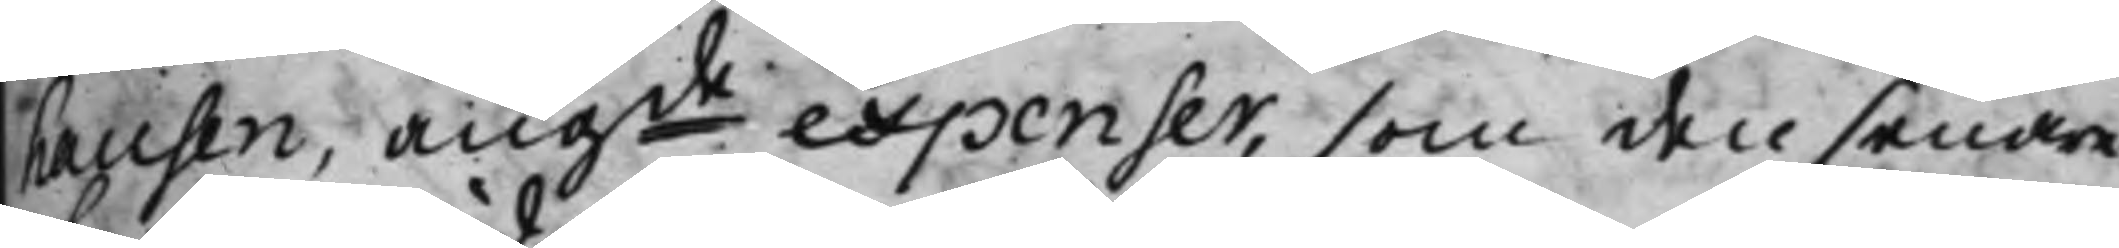hausen, angde expenser, som den senare
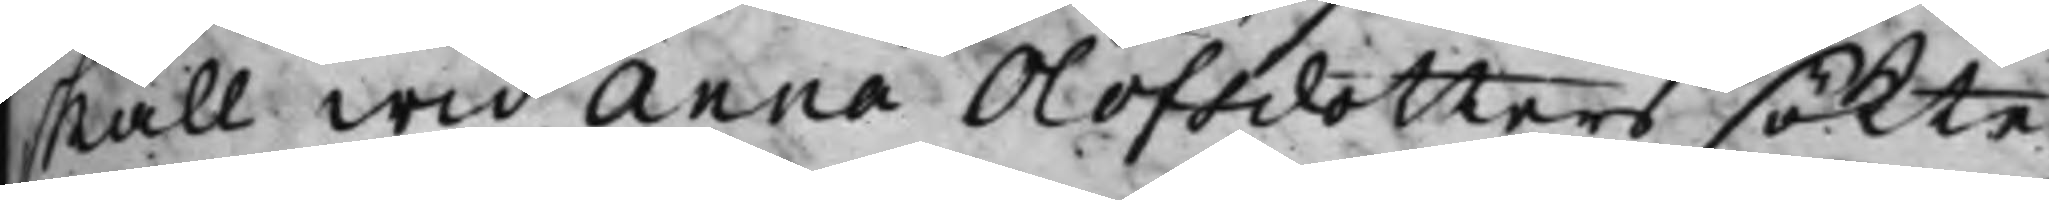skall wid Anna Olofsdotters sökte
